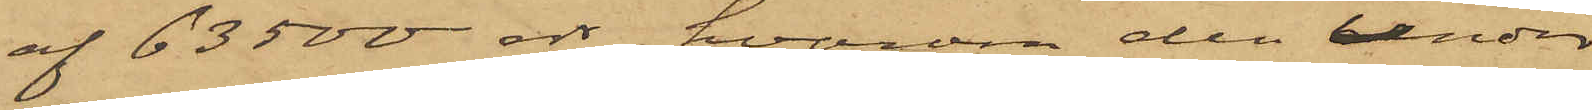af 63500 rdr, hvarom den under
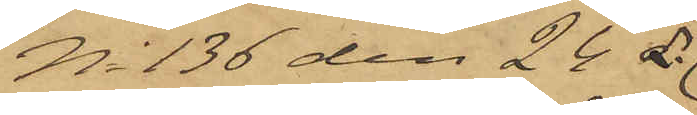No 136 den 24 ds
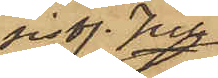sist. Juli
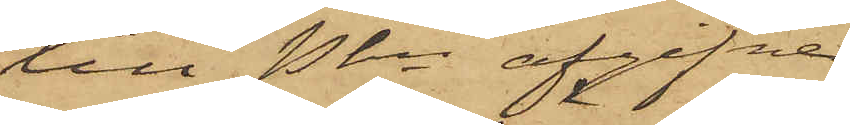till Pkn afgifne
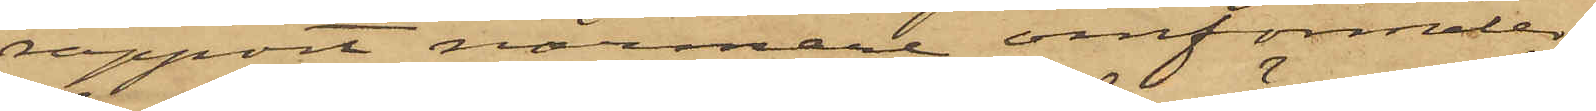rapport närmare omförmäles,
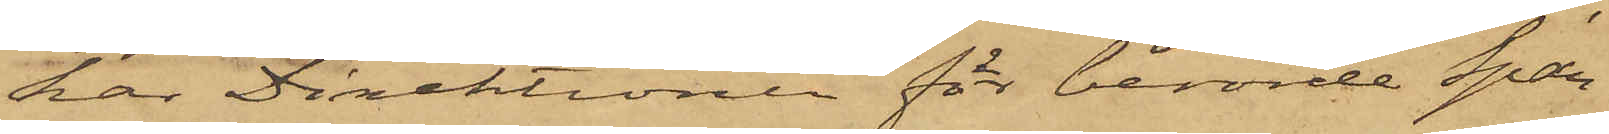har Direktionen för berörde Spar¬
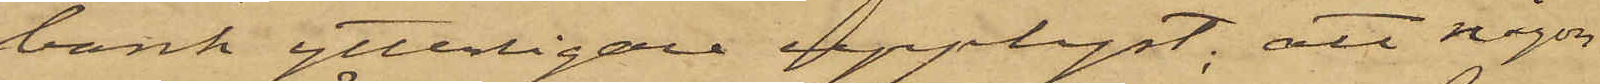bank ytterligare upplyst; att någon
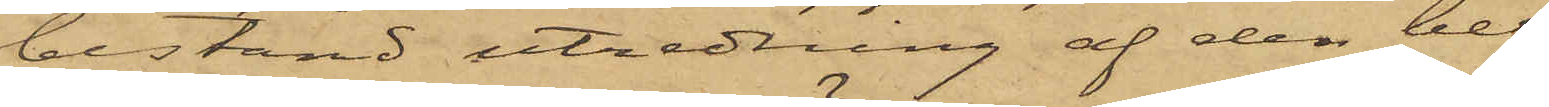bestämd utredning af den be¬
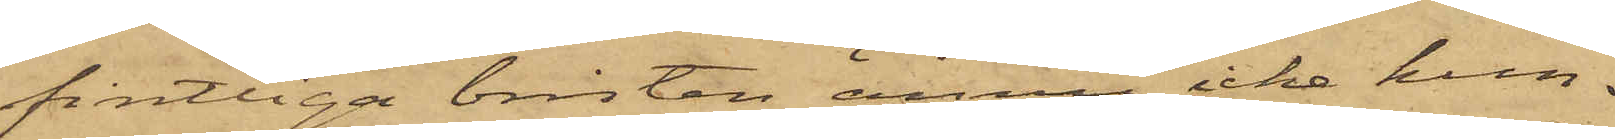fintliga bristen ännu icke kun¬
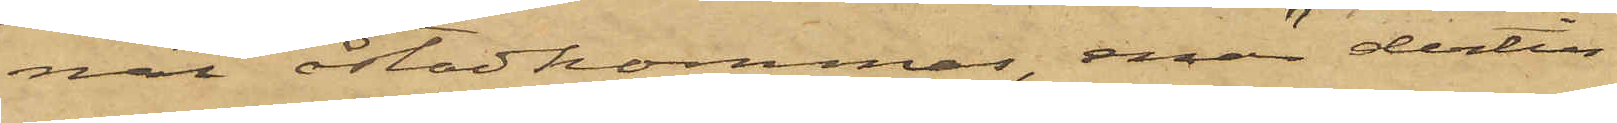nat åstadkommas, enär dertill
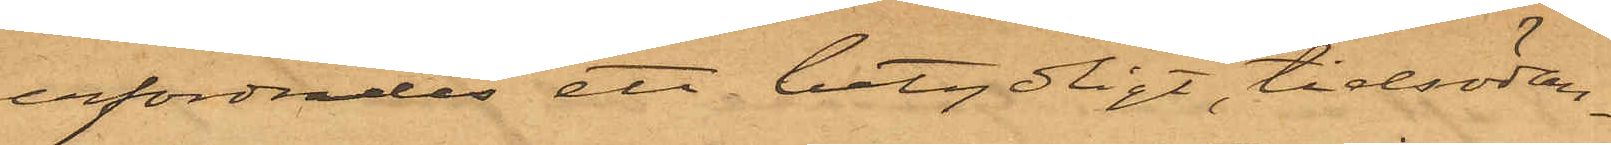erfordrades ett betydligt, tidsödan¬
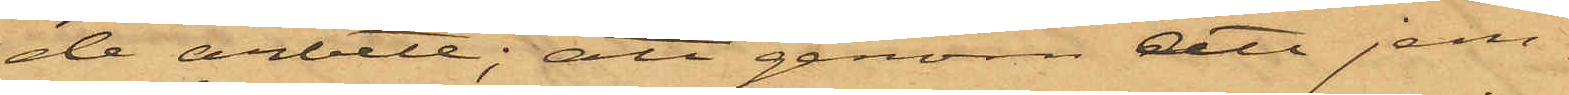de arbete; att genom att jem¬
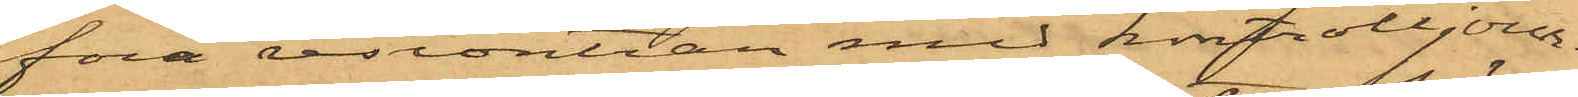föra reskontran med kassajour¬
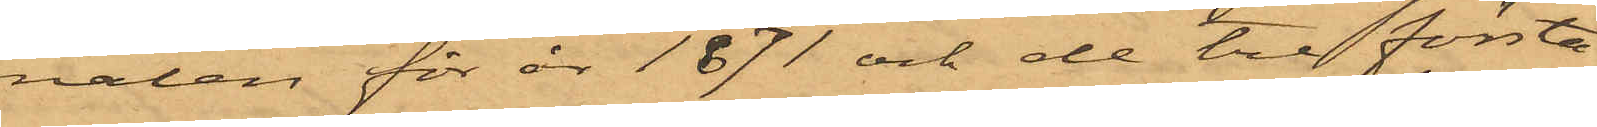nalen för år 1871 och de tre första
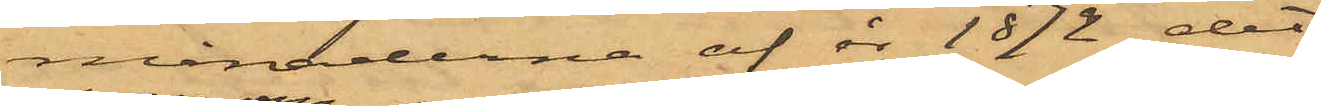månaderna af år 1872, det
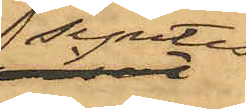syntes
